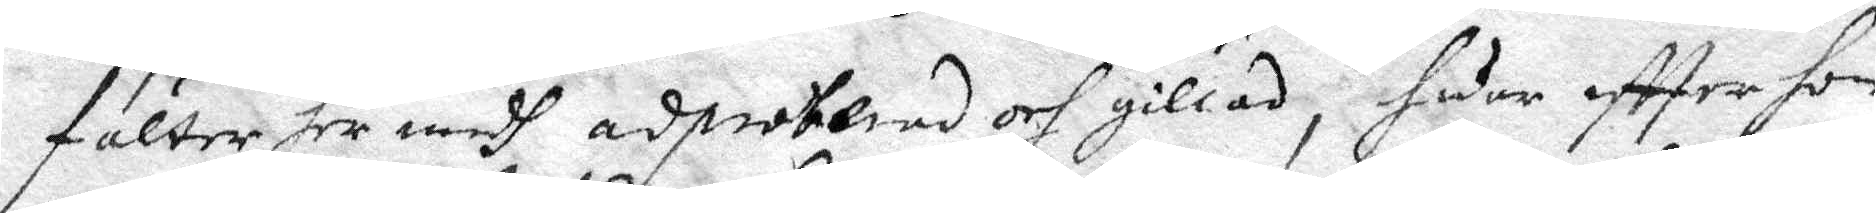fälter her medh adproberad och gillad, huar eftter hon
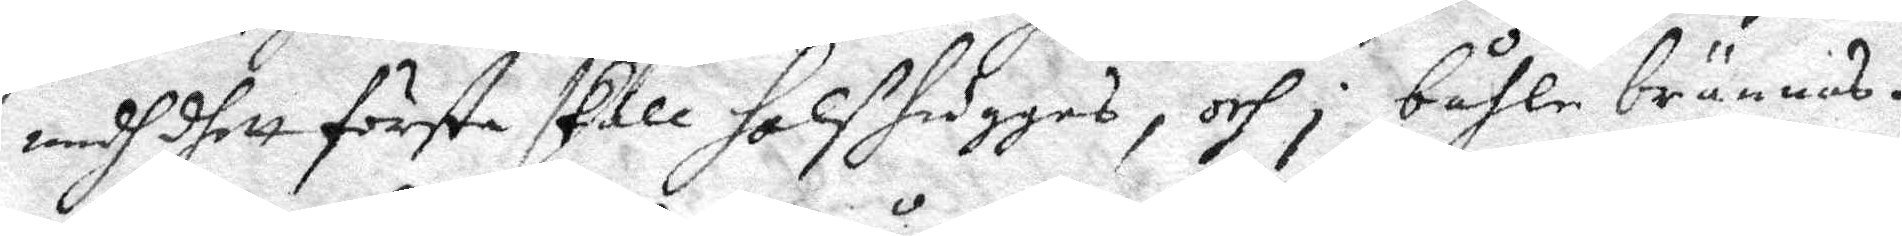medh dhet första skall halshuggas, och i båhle brännas.
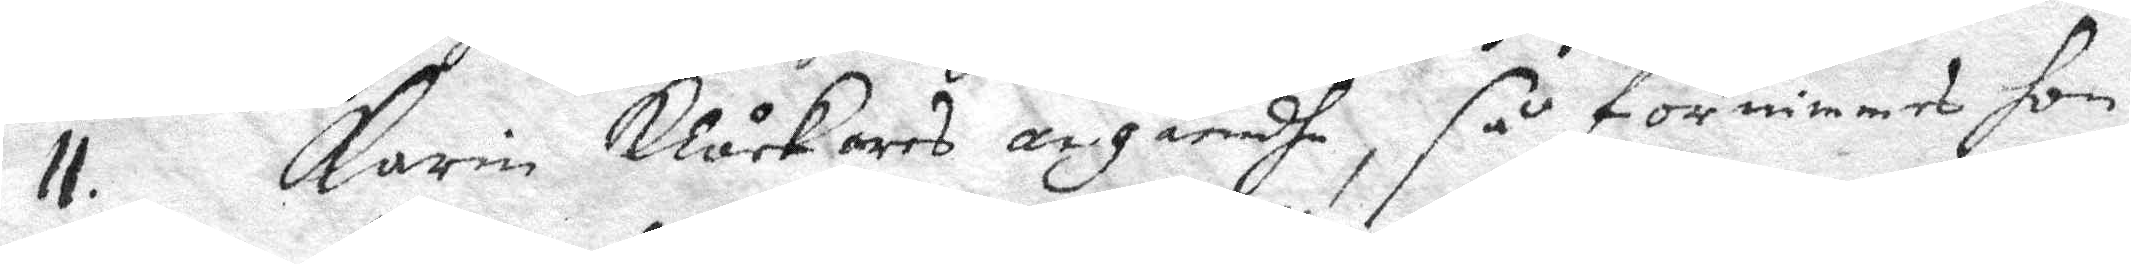11. karin Klåckars angåendhe, så förnimmes hon
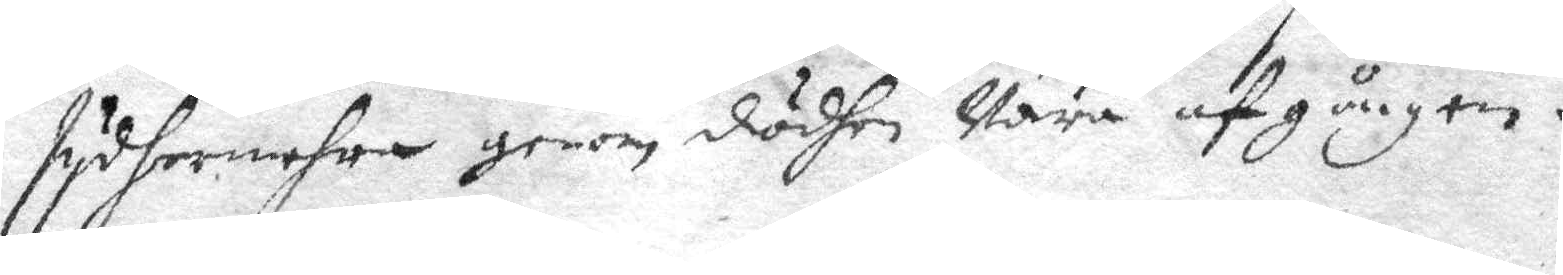sydhermehra genom dödhen Vara afgången.
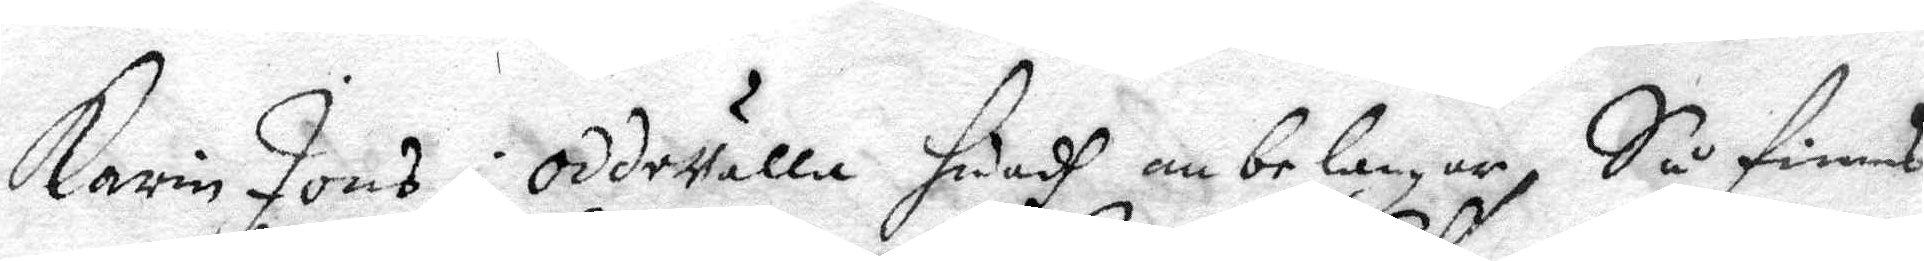Karin Jons i oddevalla huadh ombelangar, Så finnes
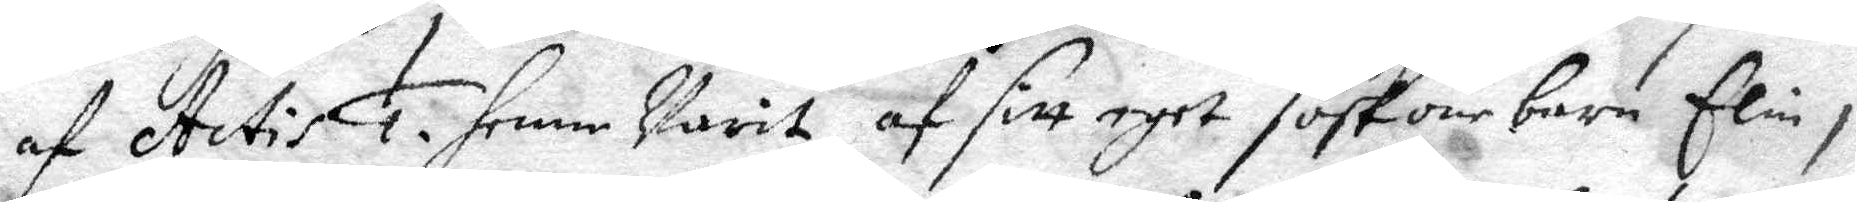af Actis 1. henne varit af sitt eget söskone barn Elin i
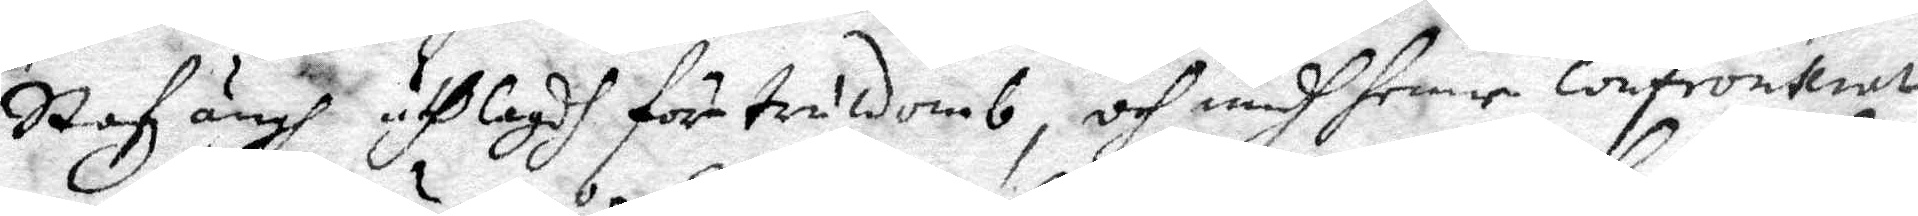Stafzängh utlagdh för truldomb, och medh henne confronterat
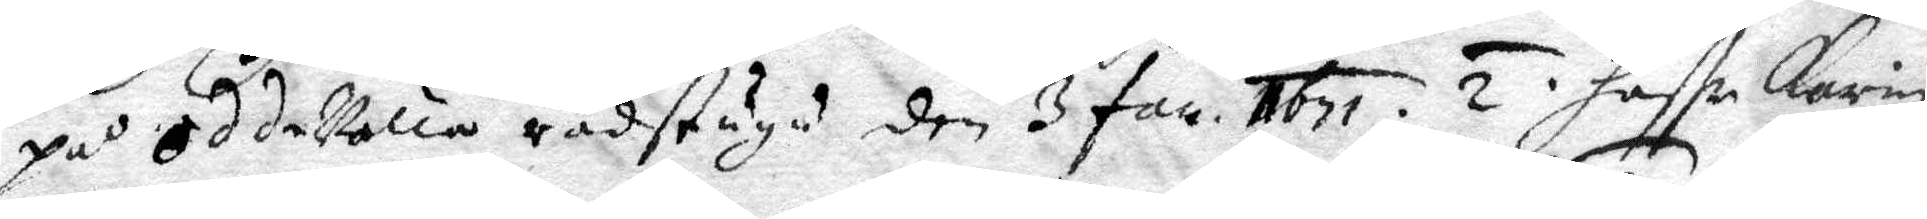på OddeValla rådstugu den 3 Jan 1671. 2. haffr Karin
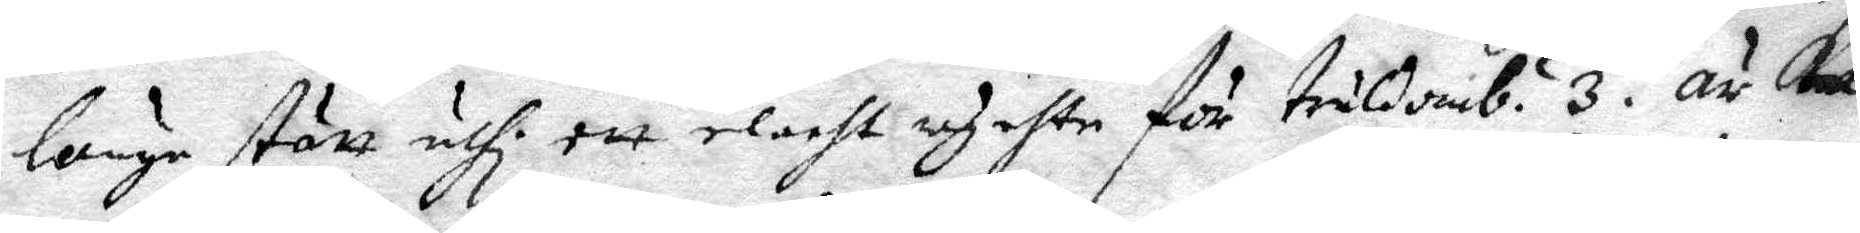länge stått uthi ett elackt rychte för truldomb. 3. är Ka¬
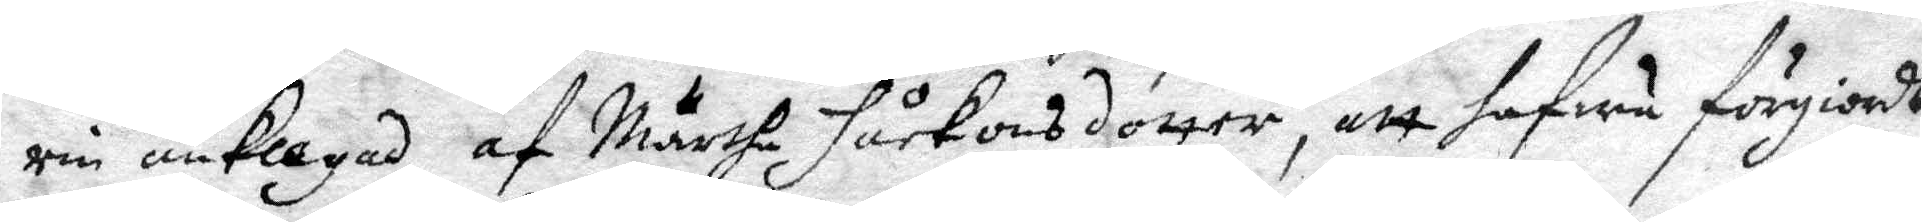rin anklagad af Märtha Håkansdotter, att hafua förgiordt
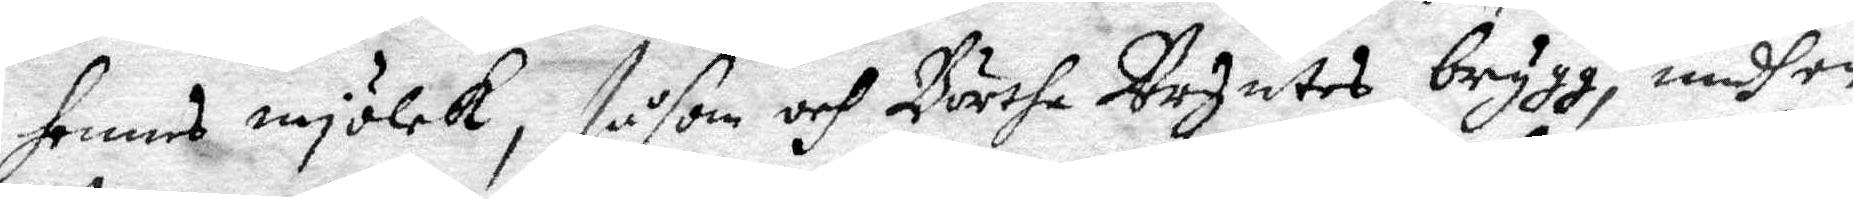hennes mjölck, såsom och Börtha Urzntes brygg, medh en
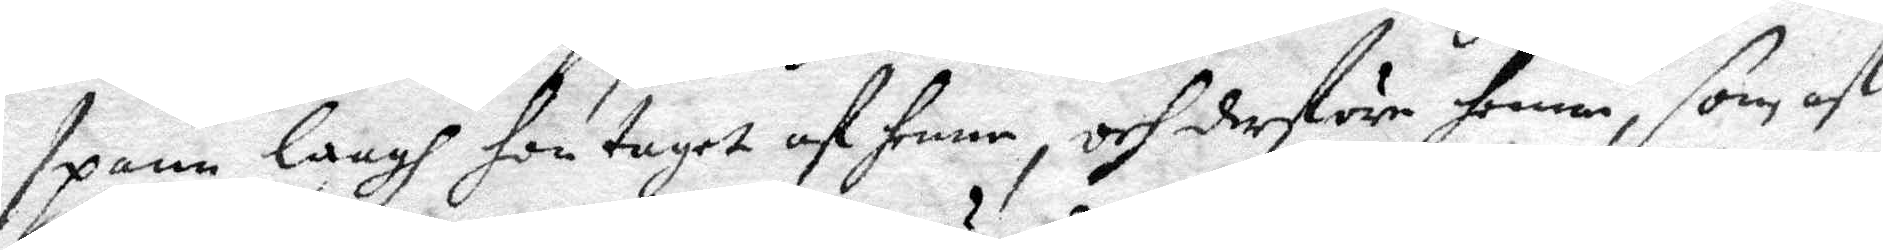spann langh hon taget af henne, och derföre henne, som af
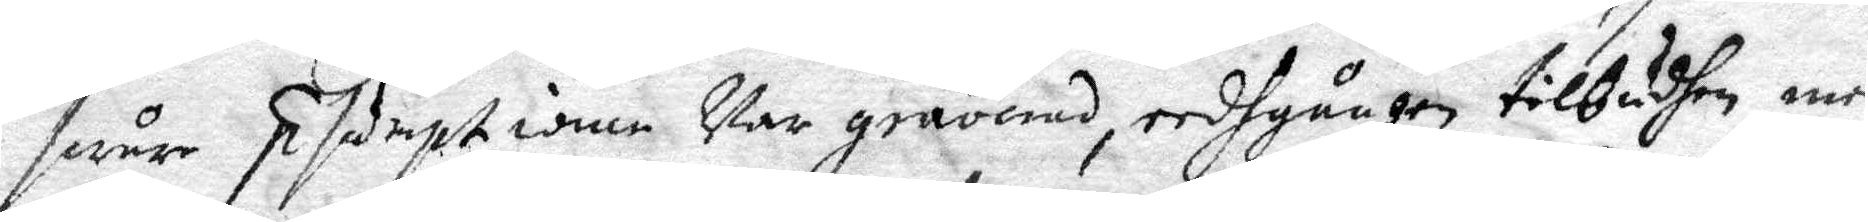swår ptsamptiome Var gråonad, eedhgången tillbudhen, men
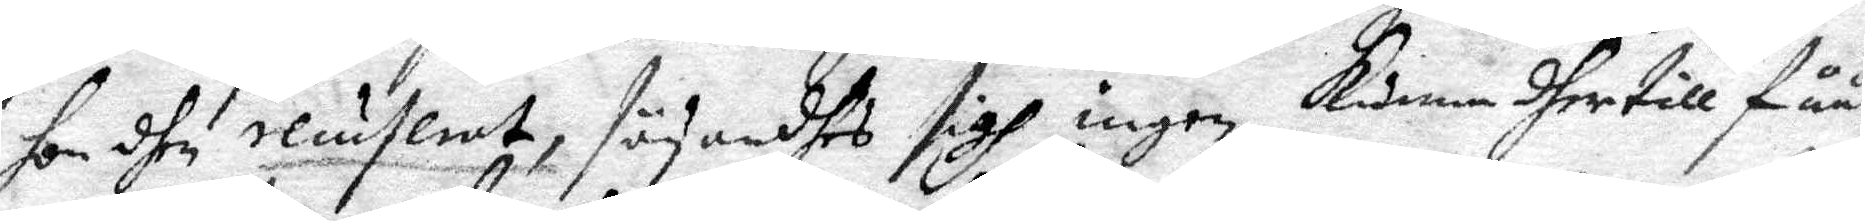hon dhe oluslert, säyandhes sigh ingen kunna dher till fåå,
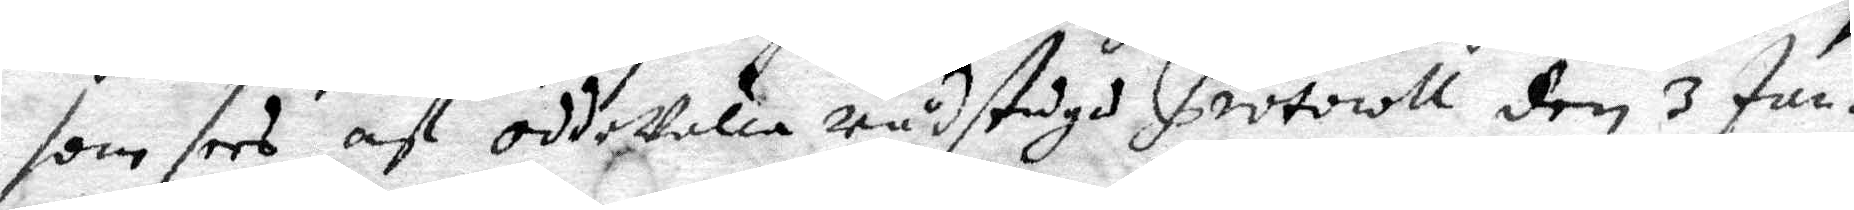som sees af oddeValla rådstugo Protocoll den 3 Jan.
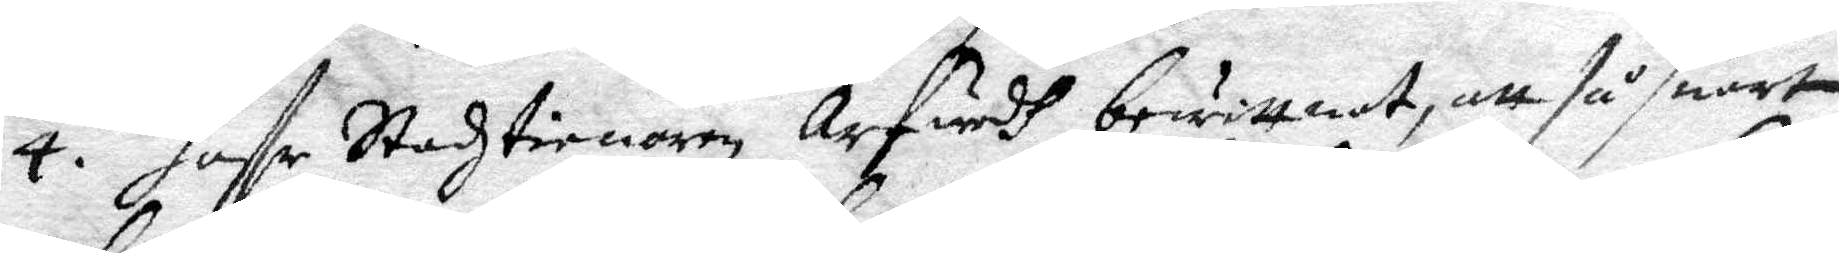4. haffr Stadztienaren Arfwedh bewittnat, att så snart
